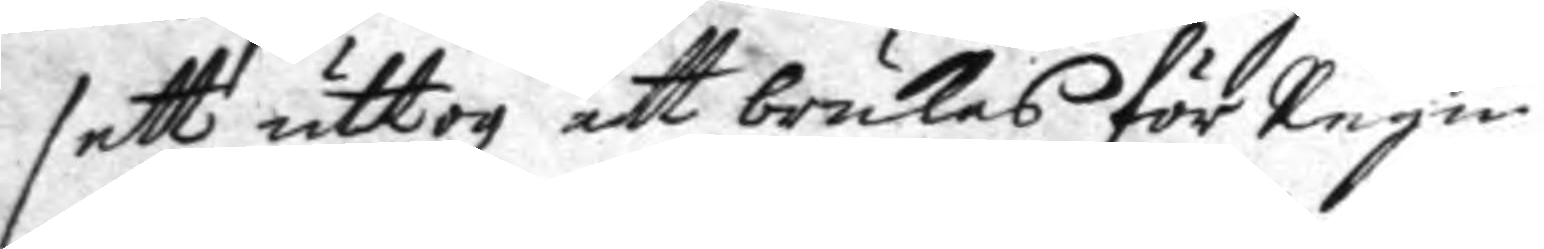sett uttogz att brukas för regn 
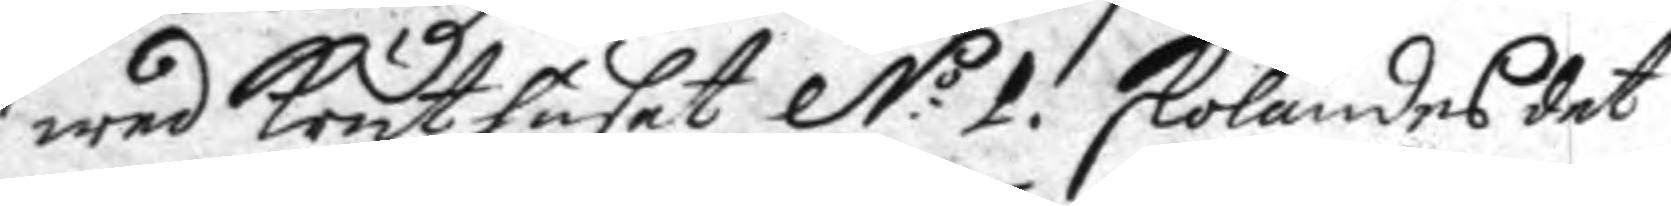wed krut huset N:o 1. skolandes det
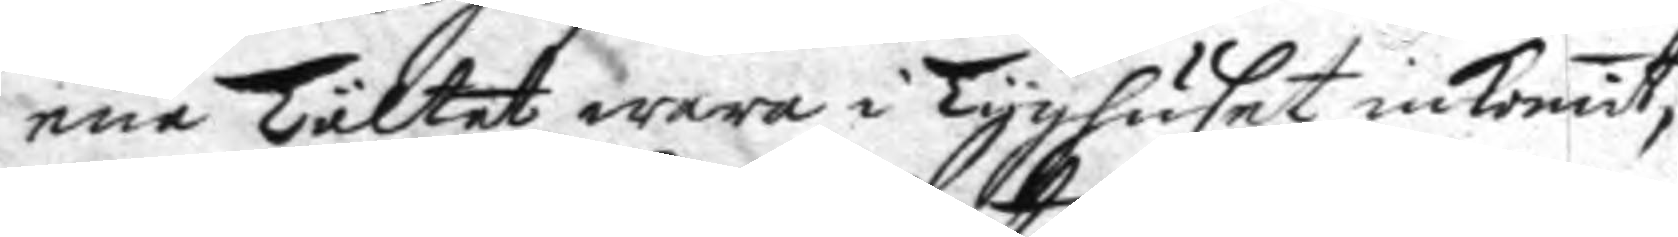ena Tältet wara i Tyghuset inkomit,
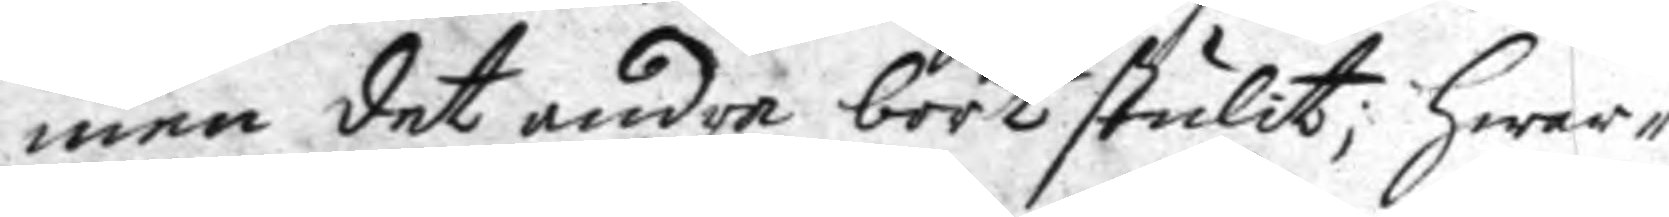men det andra bortstulit; hwar¬
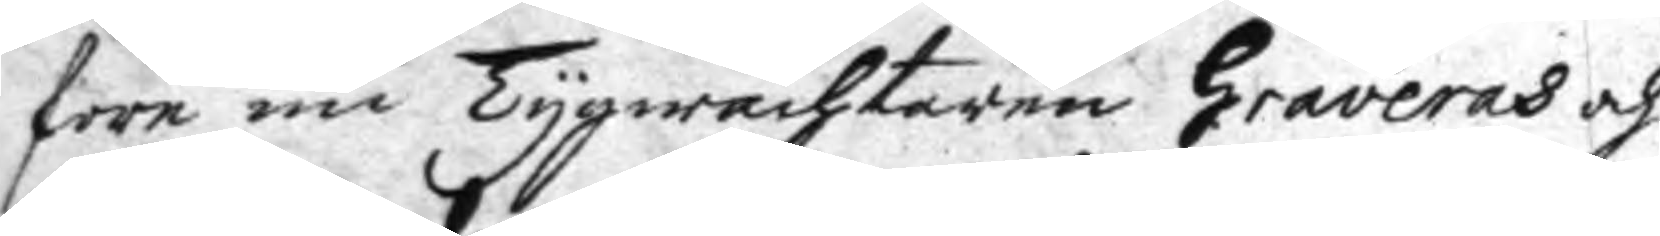före nu Tyhwachtaren Graveras och
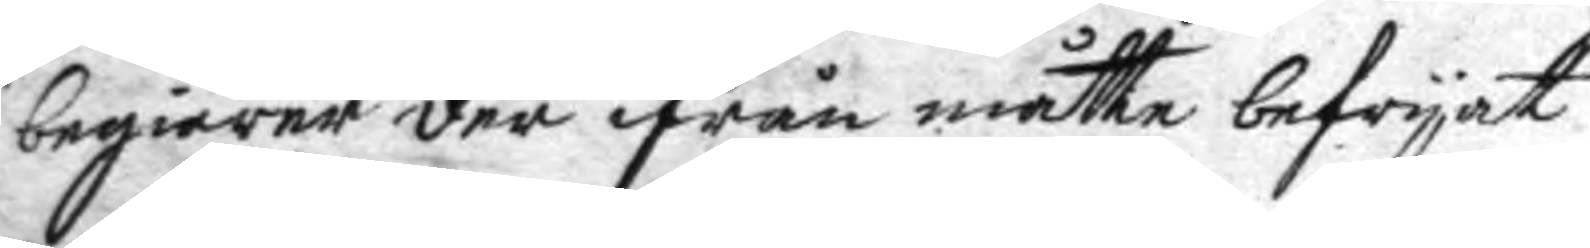begiärer der ifrån måtte befryat
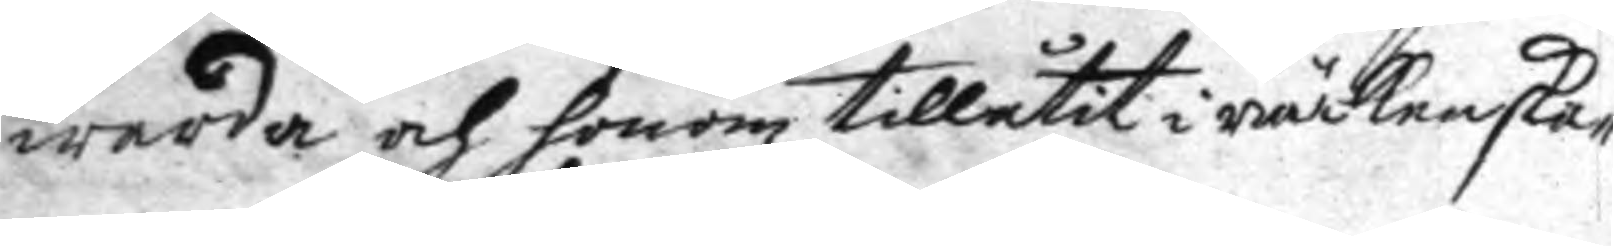warda och honom tillåtit i räckenska¬
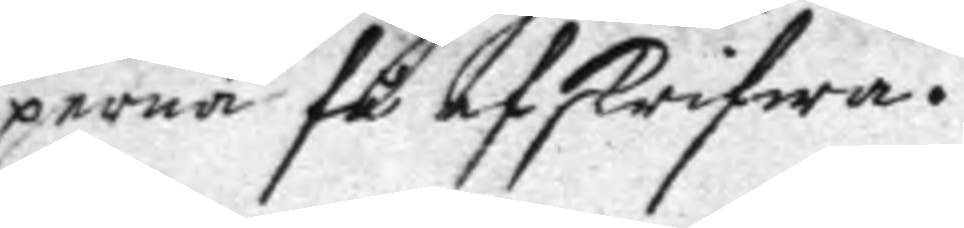perna få afskrifwa.
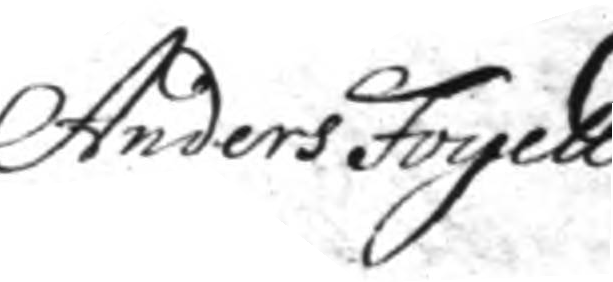Anders Fogell.
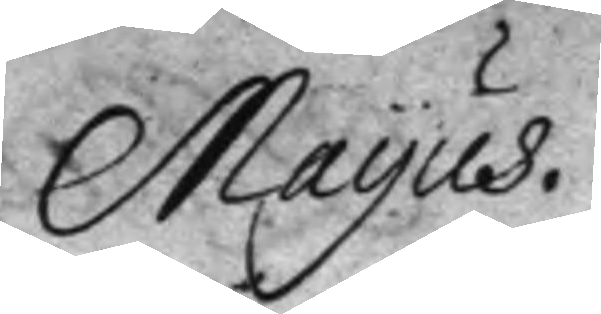Mayus.
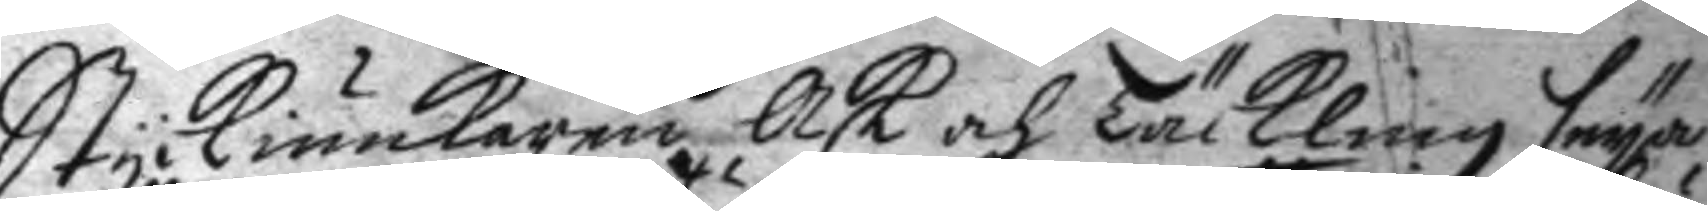Styckiunkaren Ask och Täckling seya
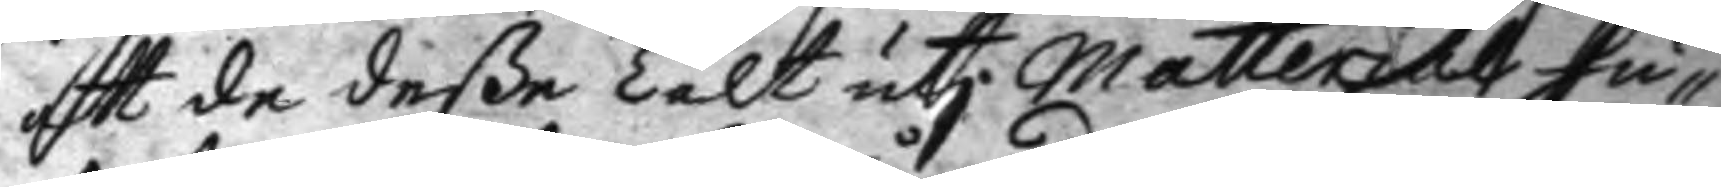att de deße Tält uti matterial hu¬
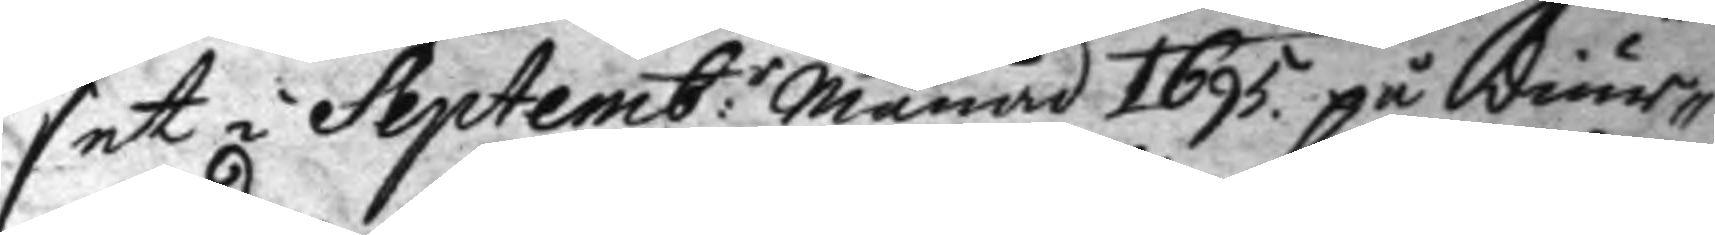set i Septemb:r månad 1695 på diur¬
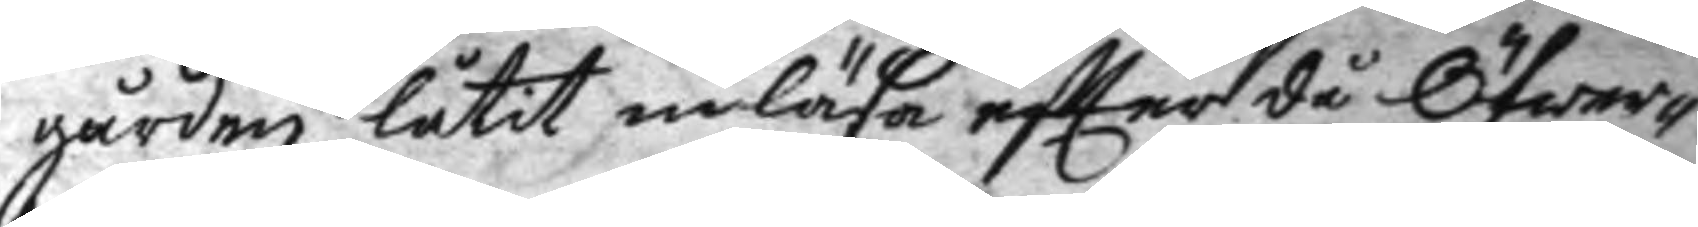gården låtit inlösa eftter då Öfwer¬
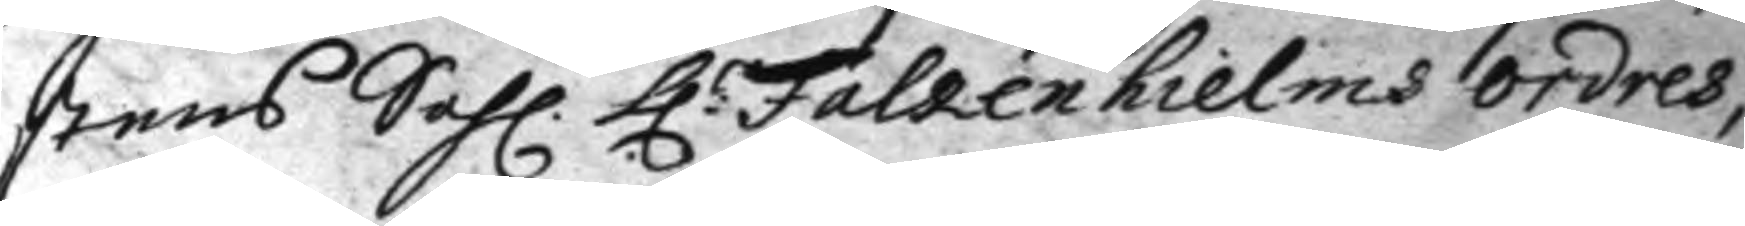stens Sahl. h:r Falkenhielms ordres
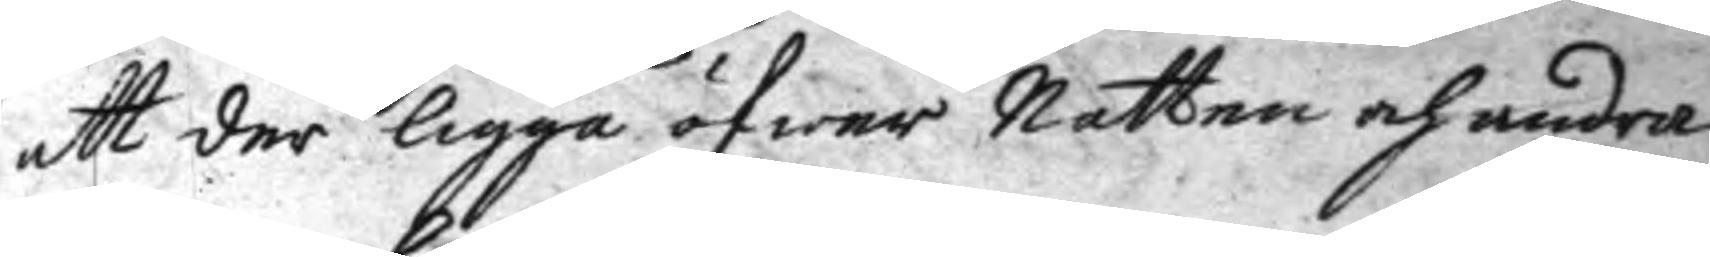att der ligga öfwer Natten och andra
